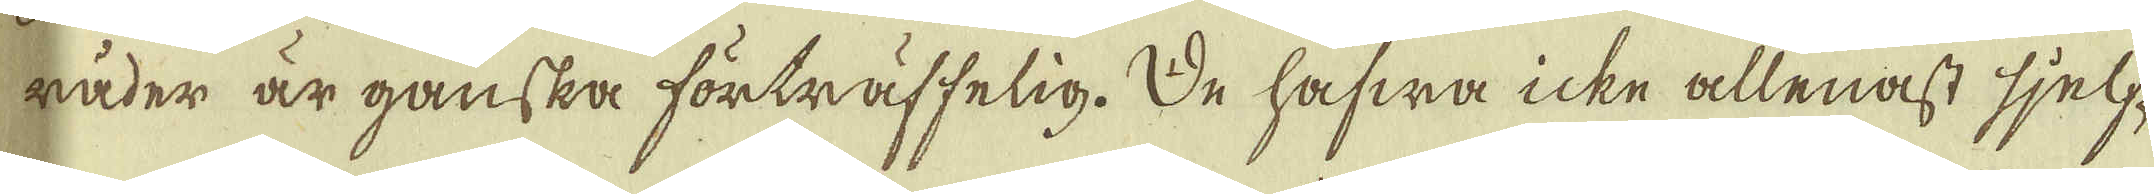råder är ganska förträffelig. De hafwa icke allenast sjelf-
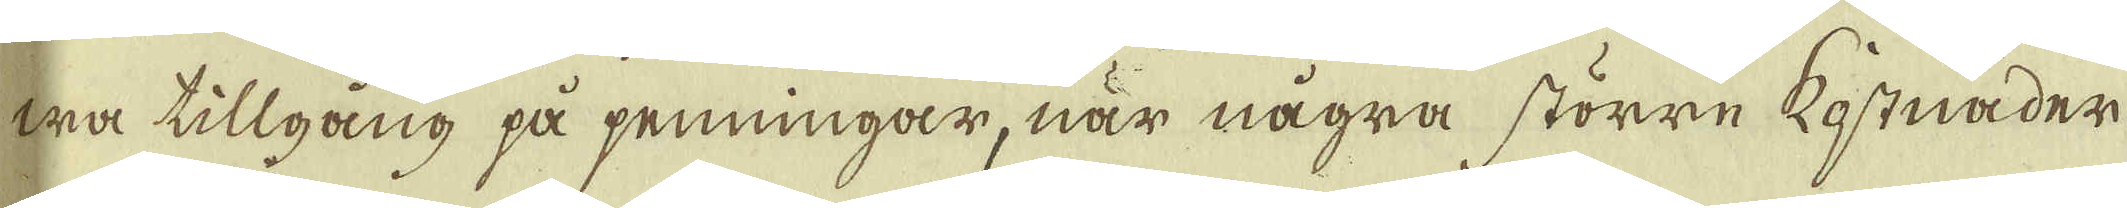wa tillgång på penningar, när några större kostnader
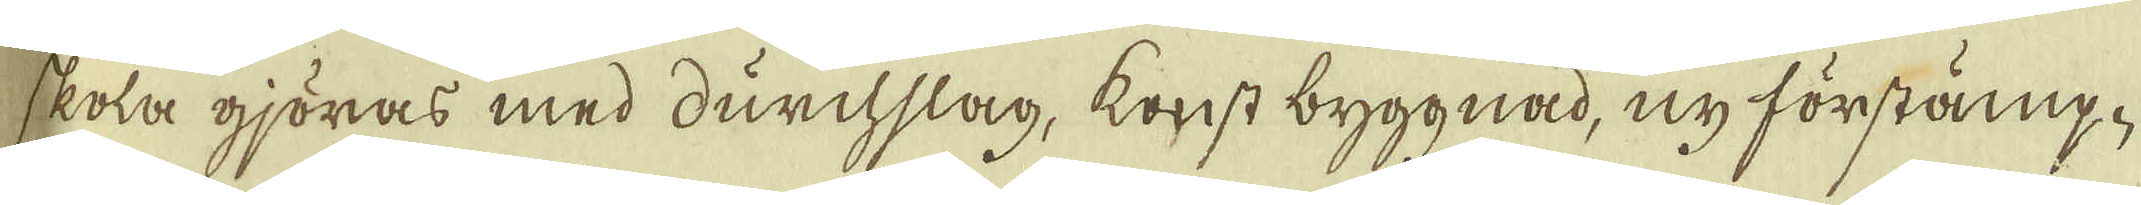skola gjöras med durchslag, konst byggnad, ny förstäng-
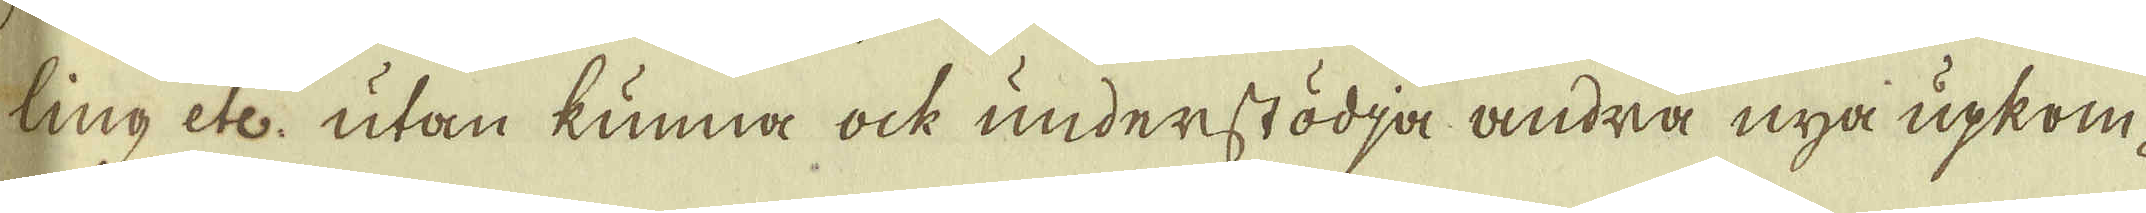ling etc, utan kunna ock understödja andra nya upkom-
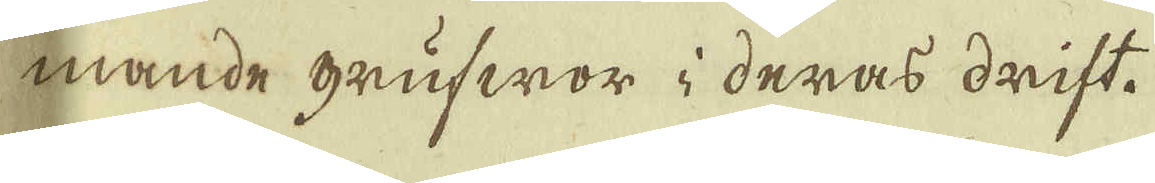mande grufwor i deras drift.
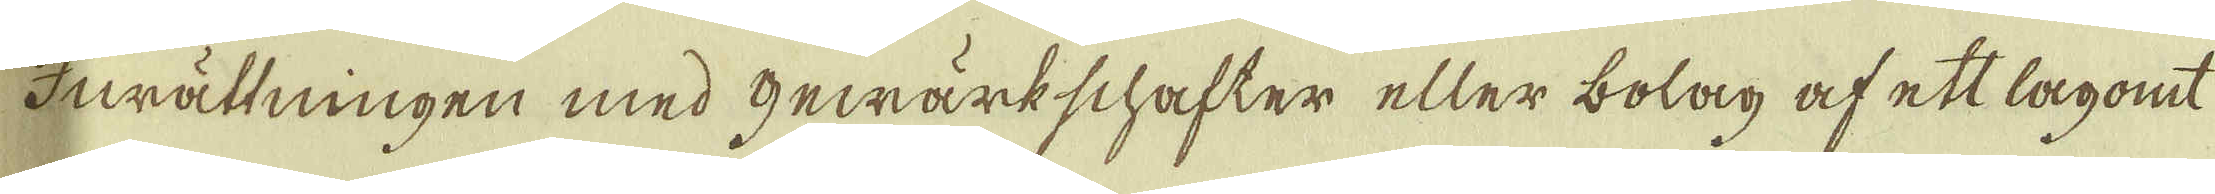Inrättningen med Gewärkschafter eller bolag af ett lagomt
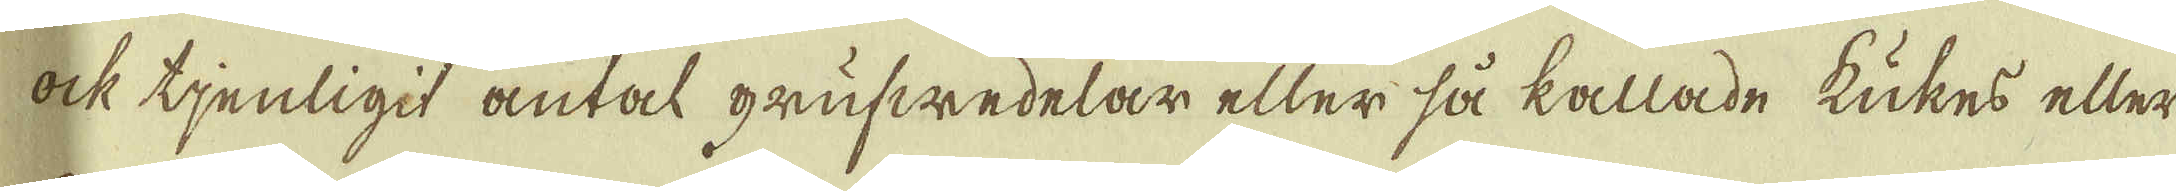ock tjenligit antal grufwedelar eller så kallade Kukes eller
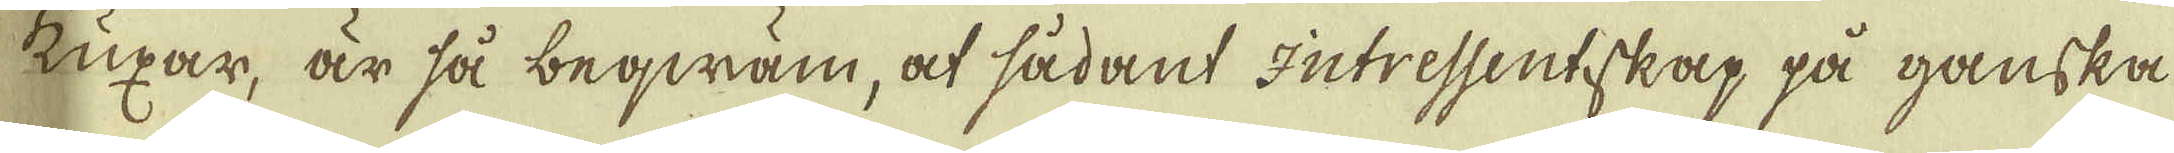Kuxar, är så beqwäm, at sådant Intressentskap på ganska
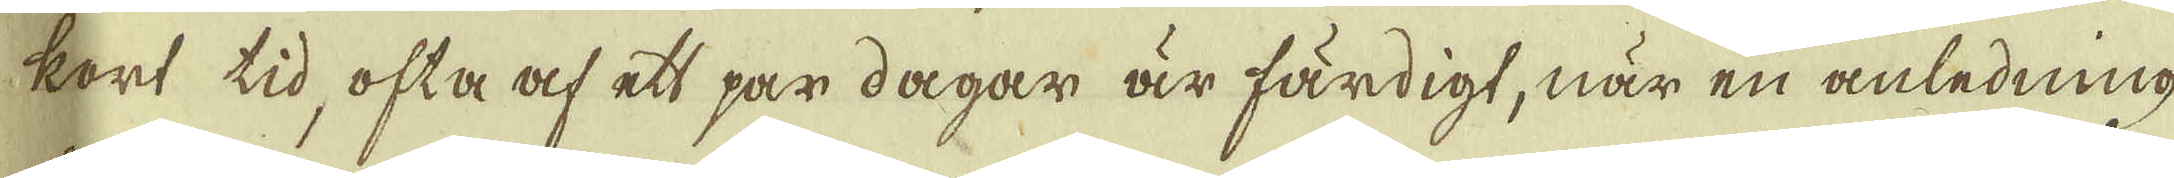kort tid, ofta af ett par dagar är färdigt, när en anledning
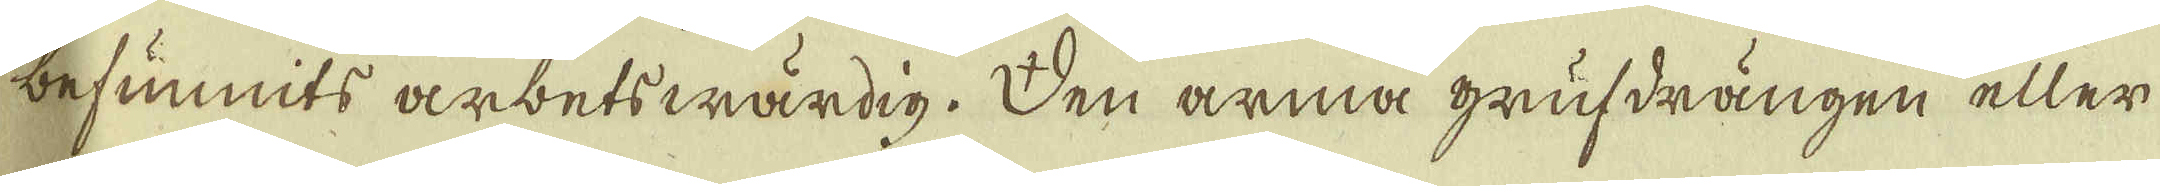befunnits arbetswärdig. Den arma grufdrängen eller
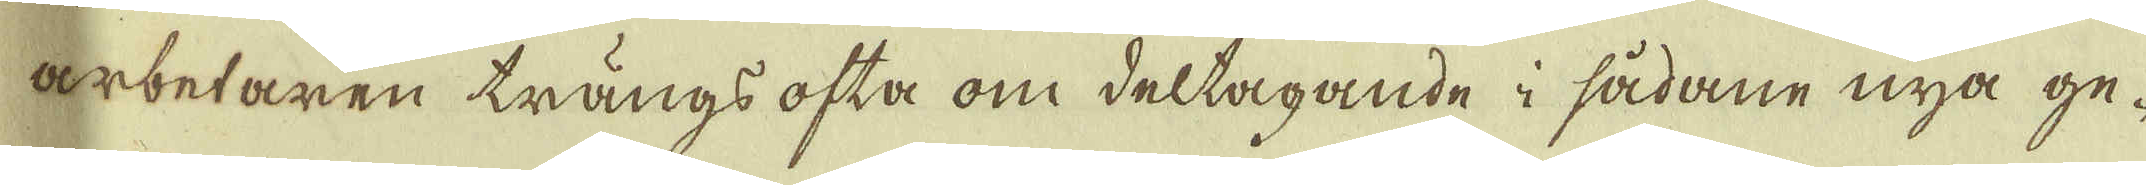arbetaren trängs ofta om deltagande i sådane nya ge-
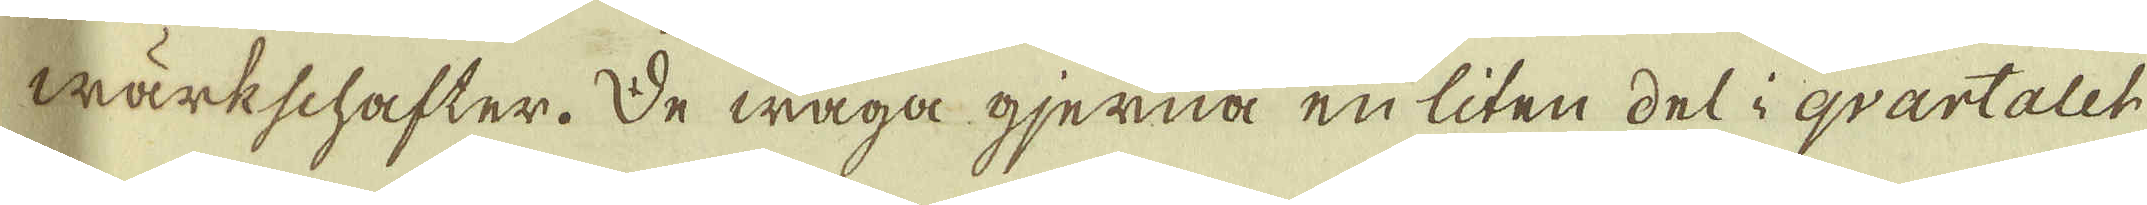wärkschafter. De wåga gjerna en liten del i qvartalet
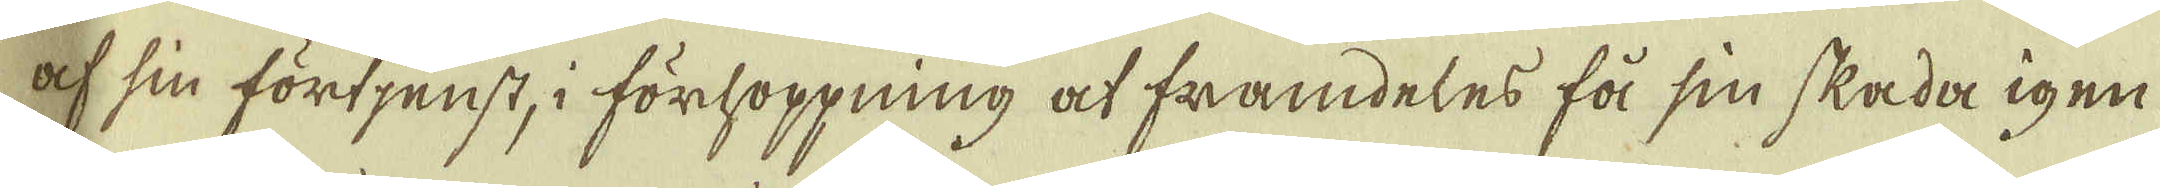af sin förtjenst, i förhoppning at framdeles få sin skada igen
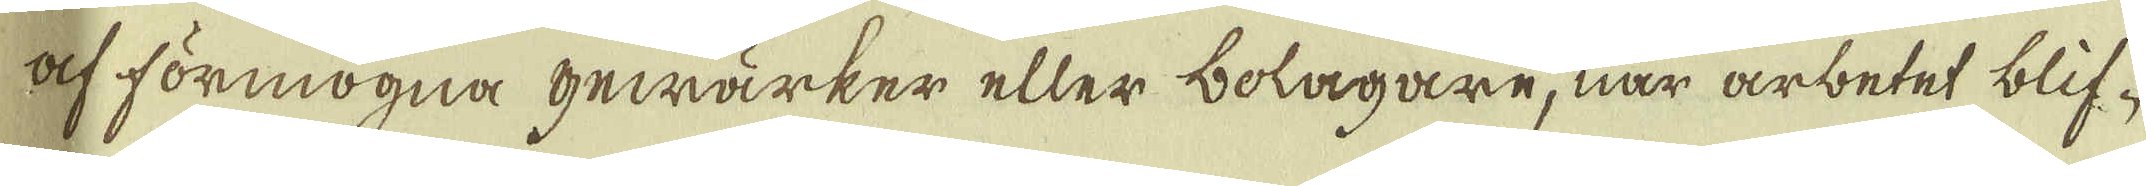af förmögna gewärker eller bolagare, när arbetet blif-
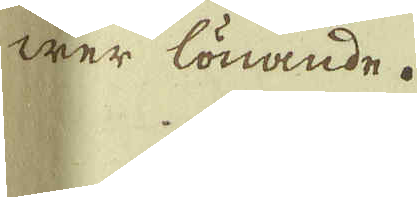wer lönande.
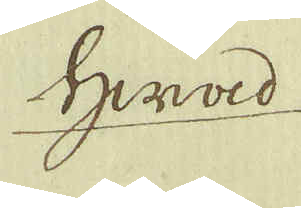Hwad
